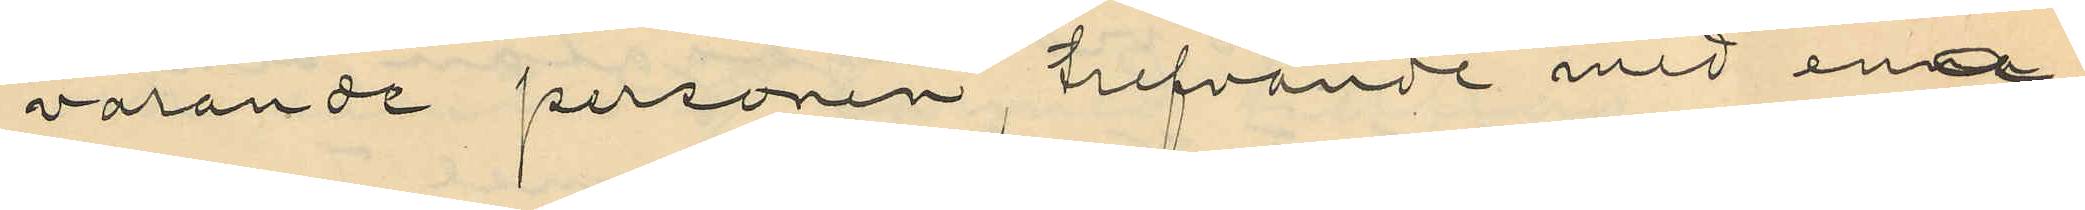varande personen trefvande med ena
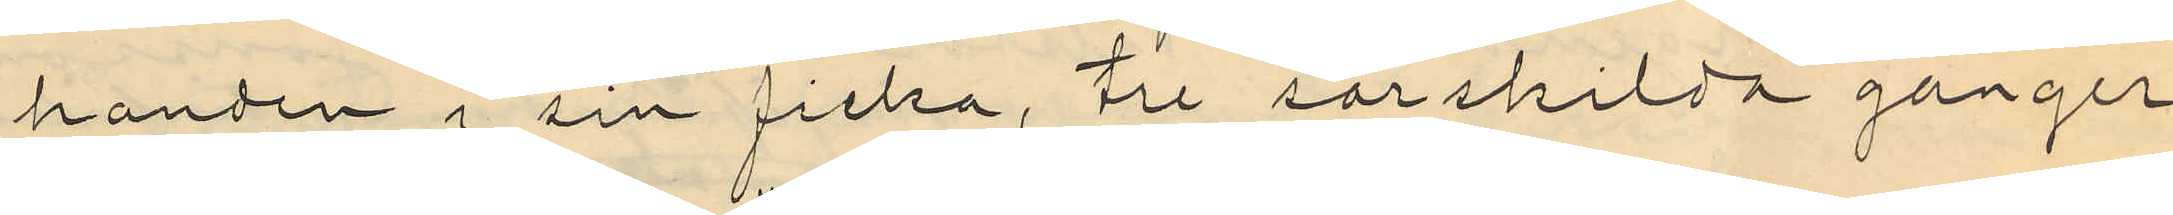handen i sin ficka, tre särskilda gånger
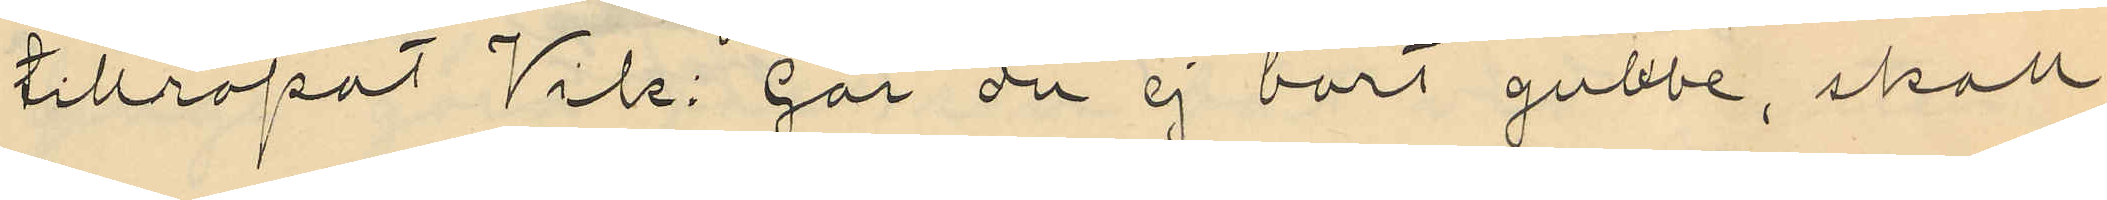tillropat Vik: "går du ej bort gubbe, skall
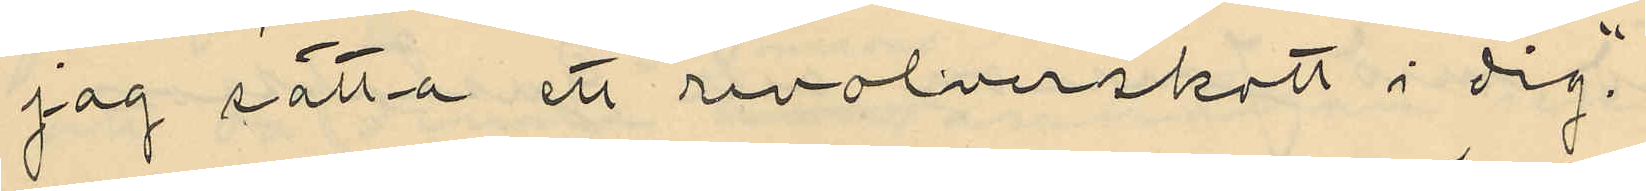jag sätta ett revolverskott i dig".
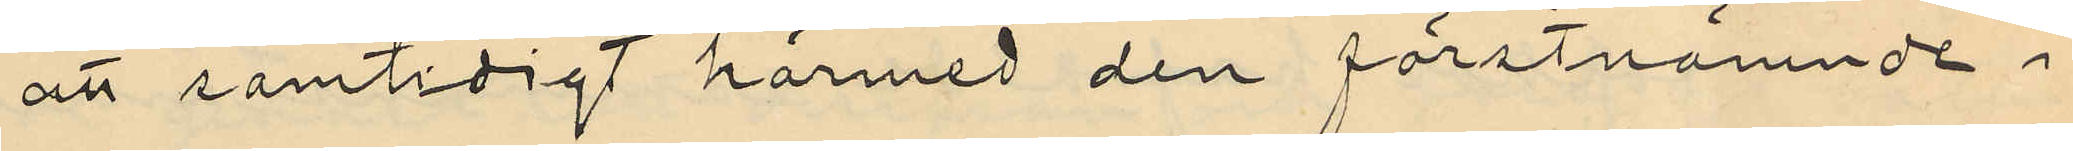att samtidigt härmed den förstnämnde i
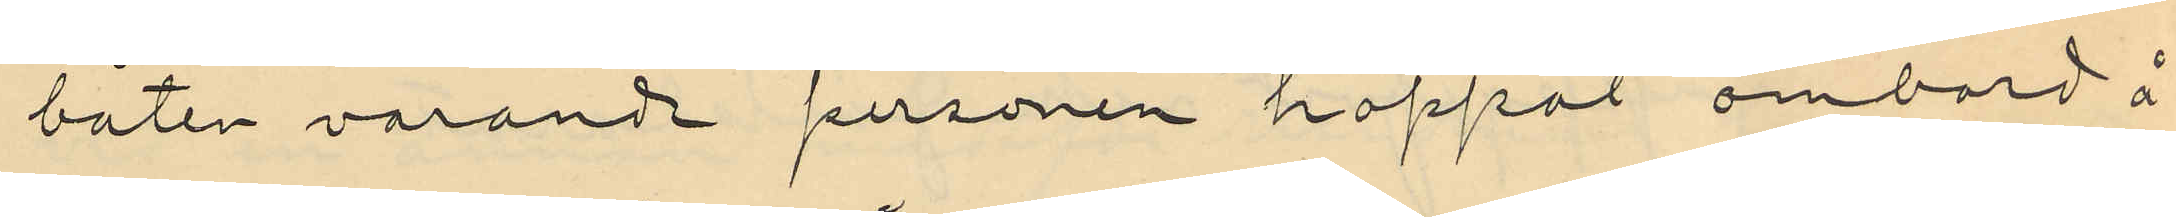båten varande personen hoppat ombord å
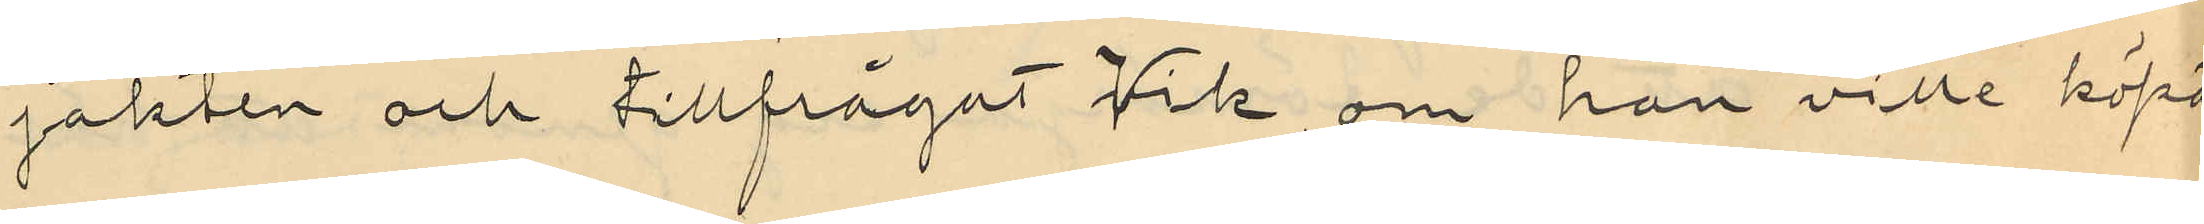jakten och tillfrågat Vik om han ville köpa
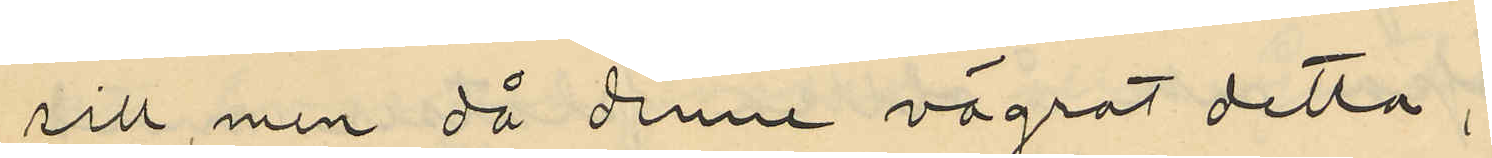sill, men då denne vägrat detta,
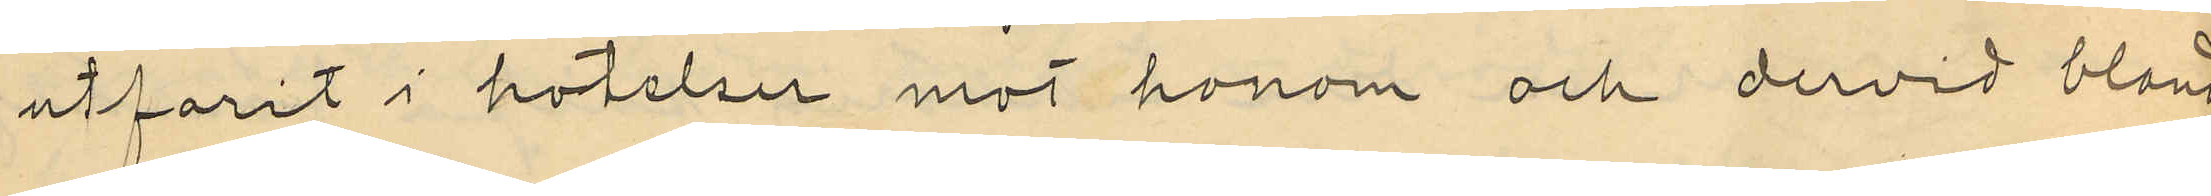utfarit i hotelser mot honom och dervid bland
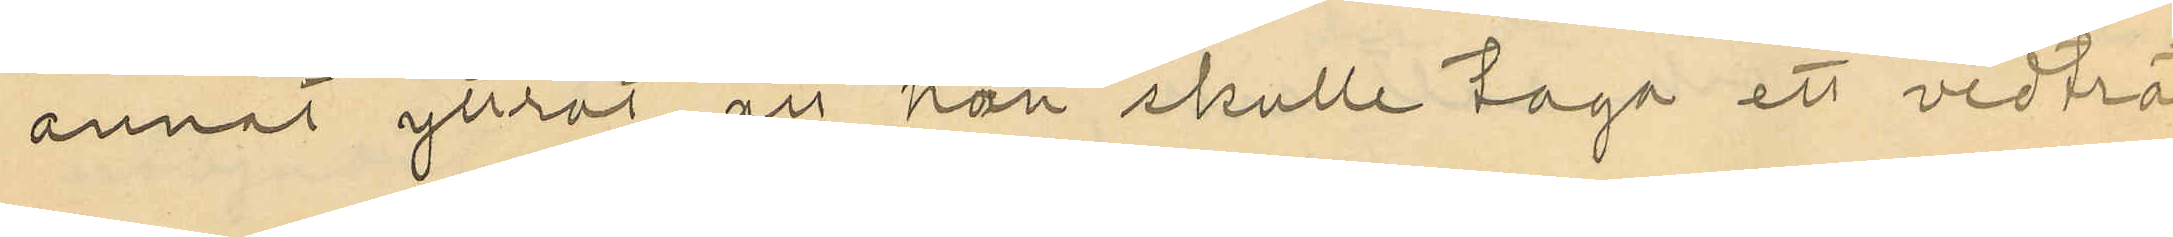annat yttrat att han skulle taga ett vedträ
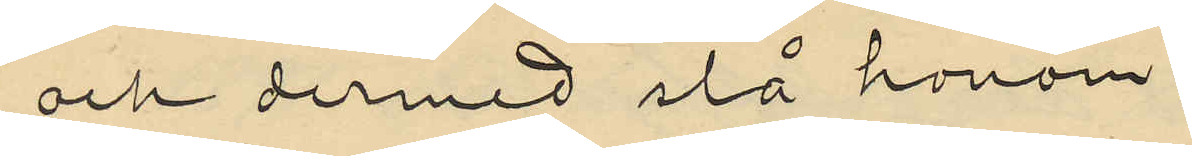och dermed slå honom;
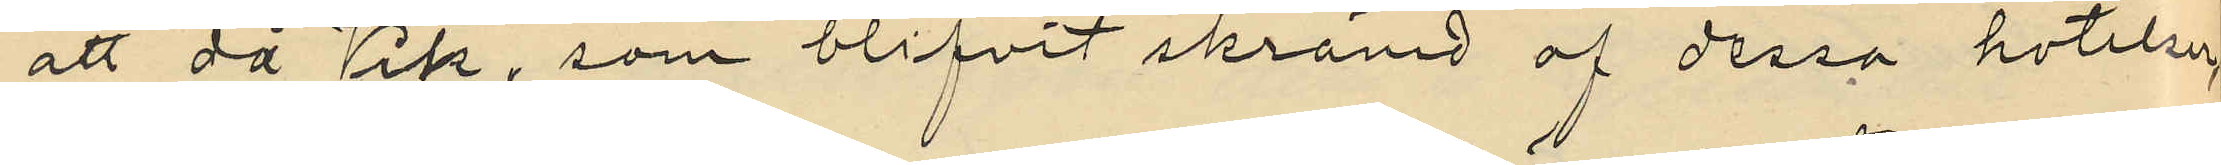att då Vik, som blifvit skrämd af dessa hotelser,
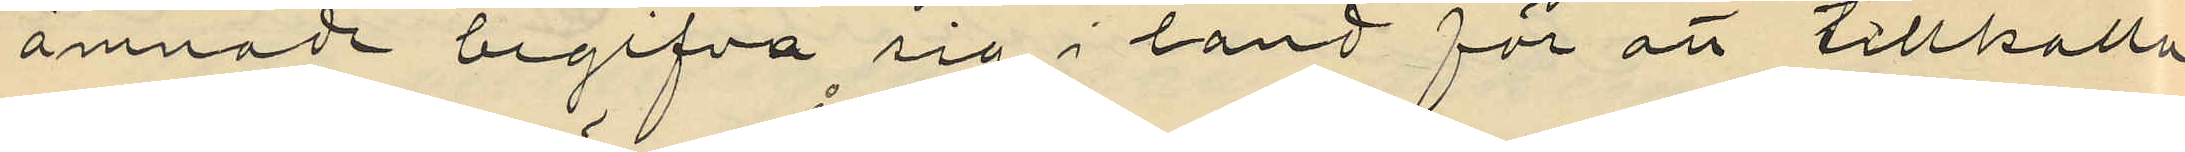ämnade begifva sig i land för att tillkalla
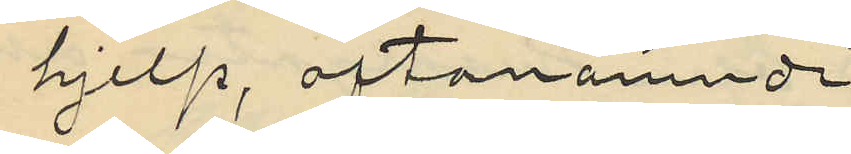hjelp, oftanämnde
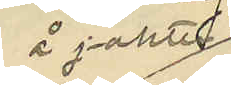å jakten
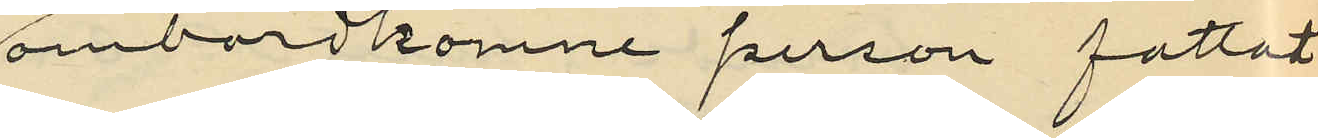ombordkomne person fattat
